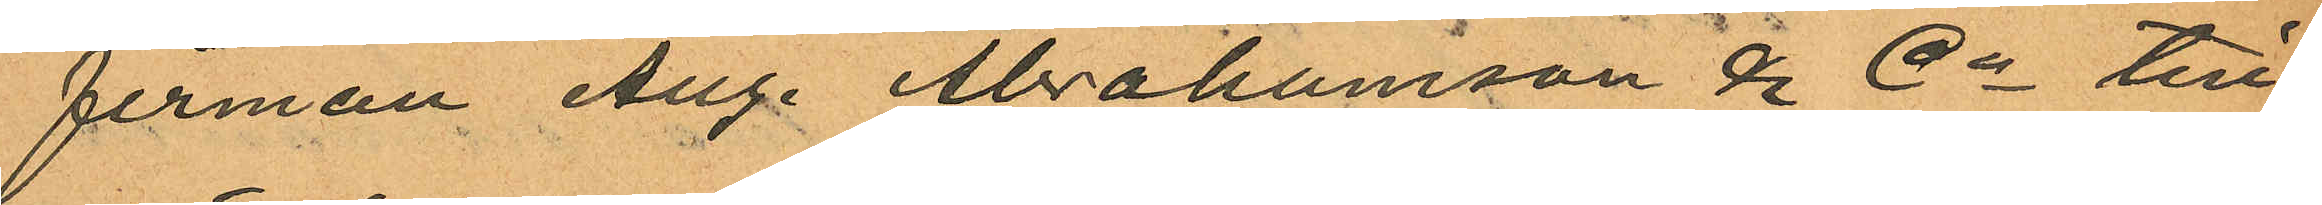firman Aug. Abrahamsson & Co till¬
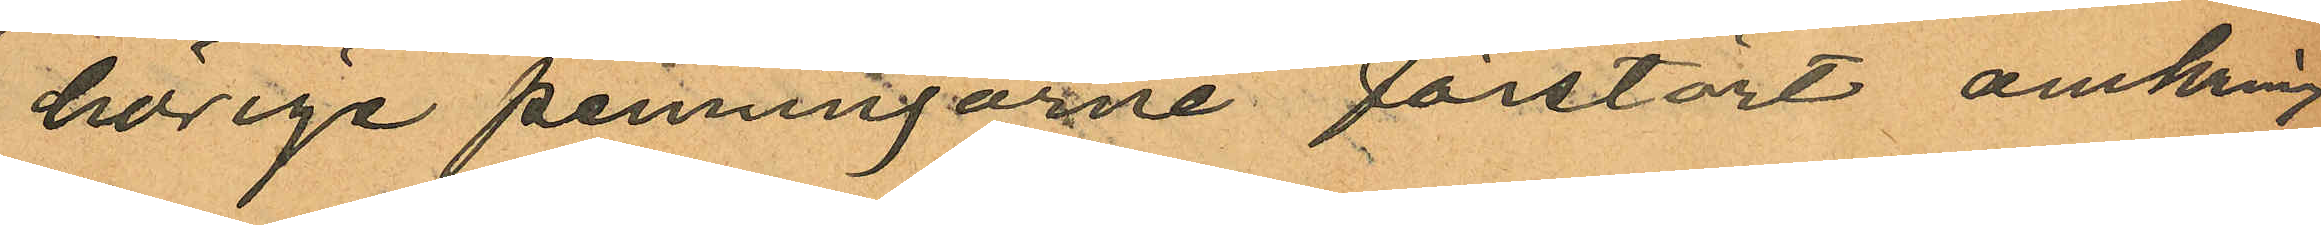hörige penningarne förstört omkring
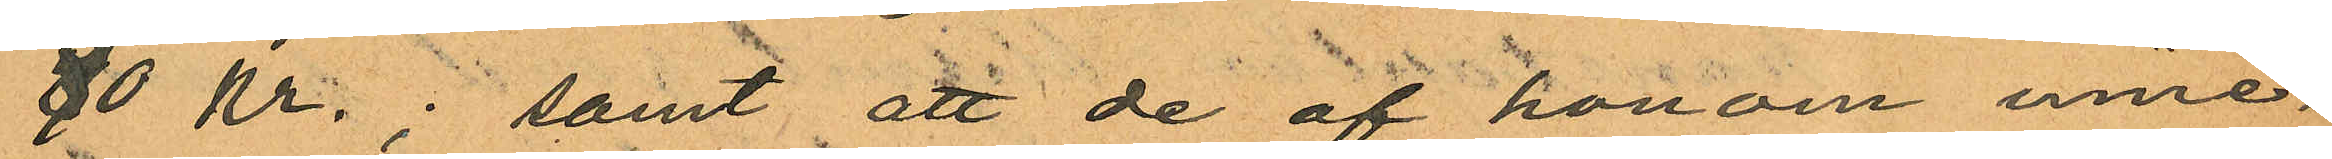80 Kr.; samt att de af honom inne¬
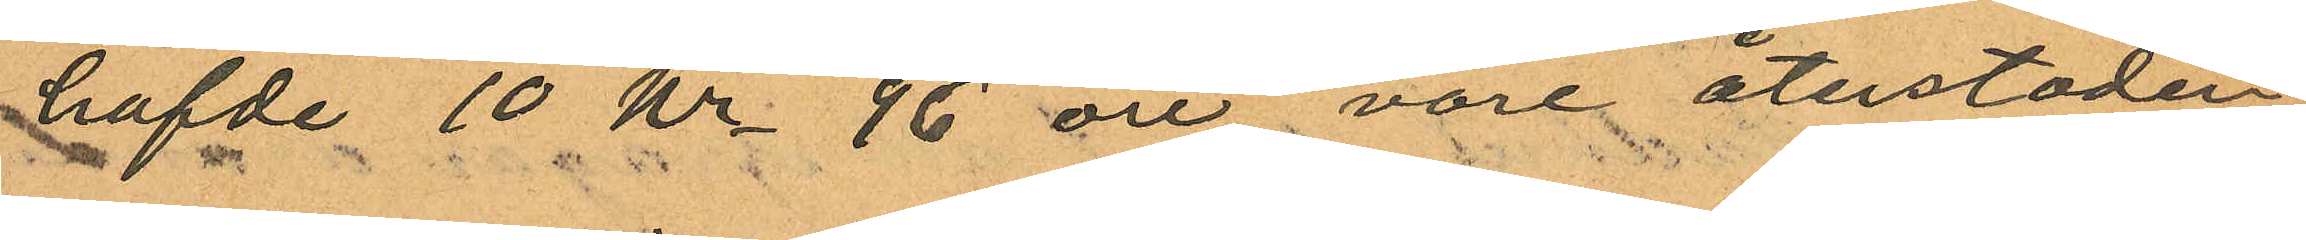hafde 10 Kr 96 öre vore återstoden
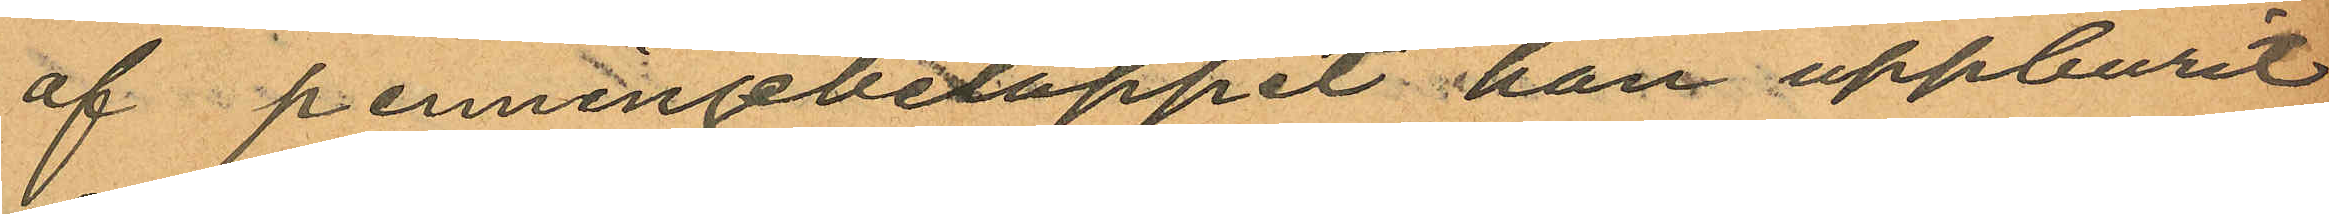af penningebeloppet han uppburit
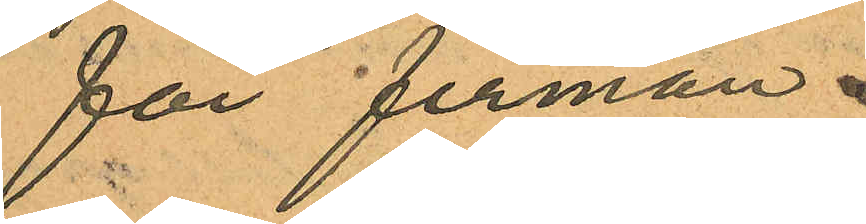för firman.
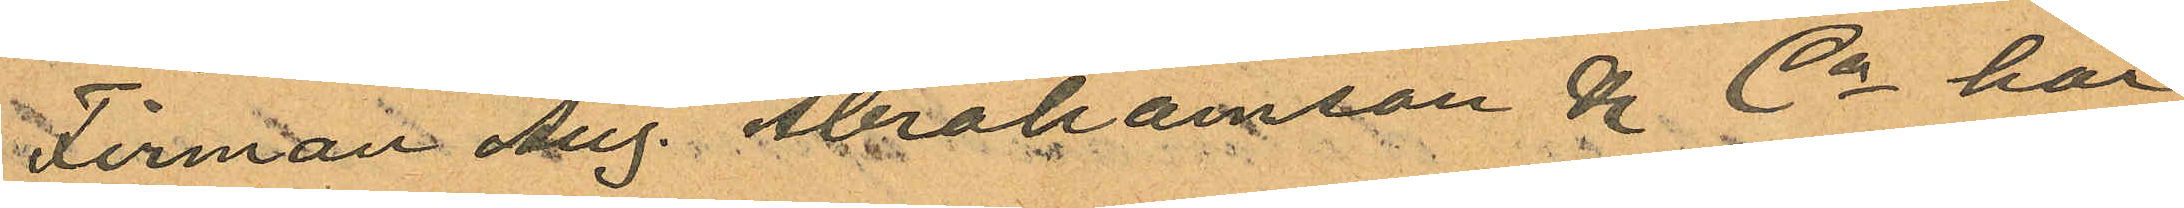Firman Aug. Abrahamsson & Co har
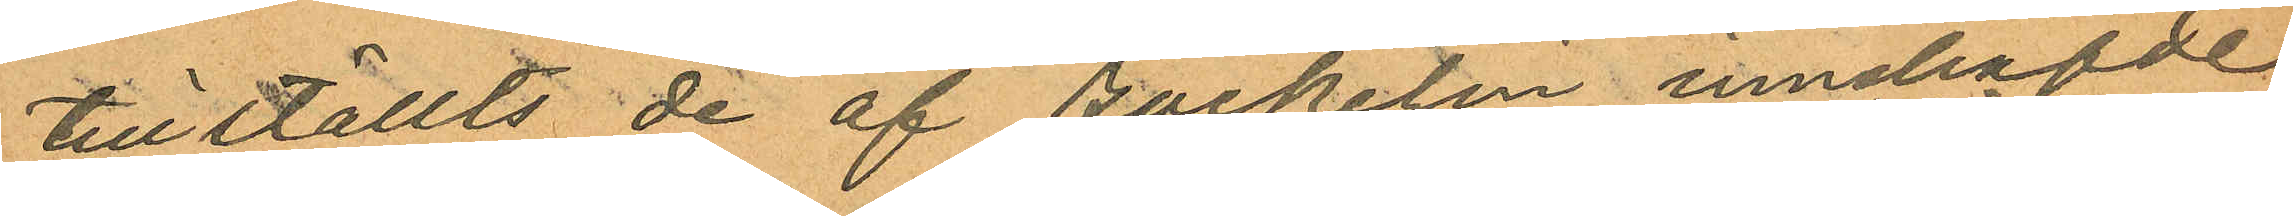tillställts de af Backelin innehafde
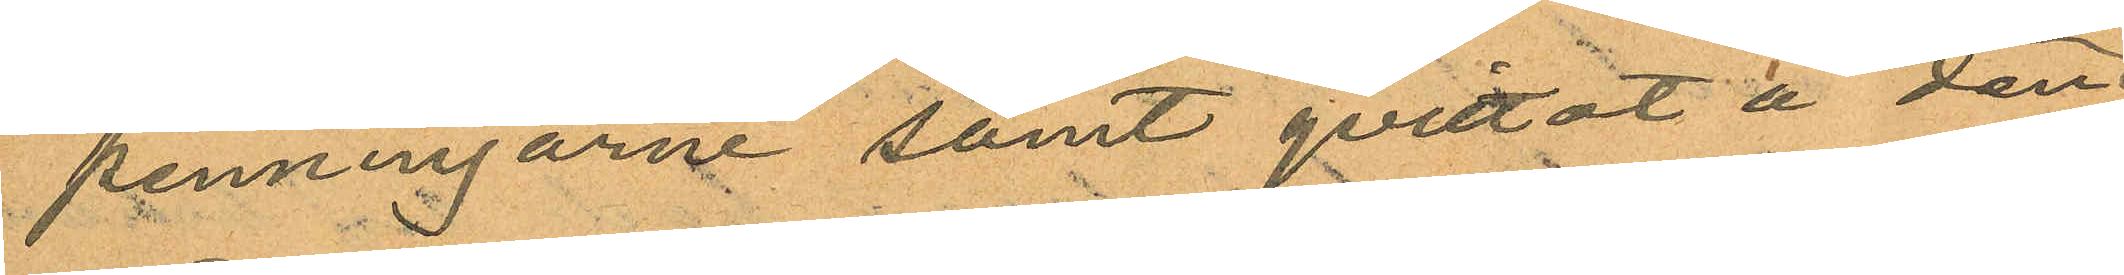penningarne samt qvittot å den
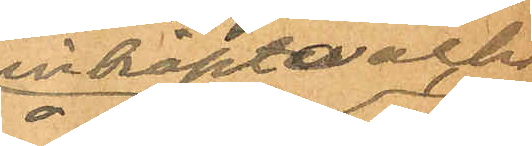inköpta och
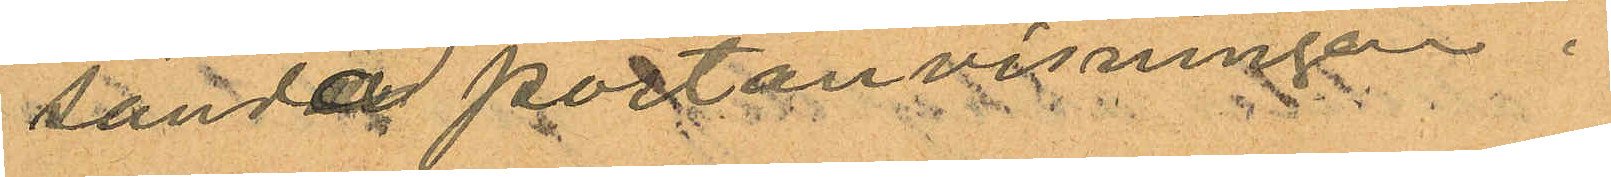sända postanvisningen.
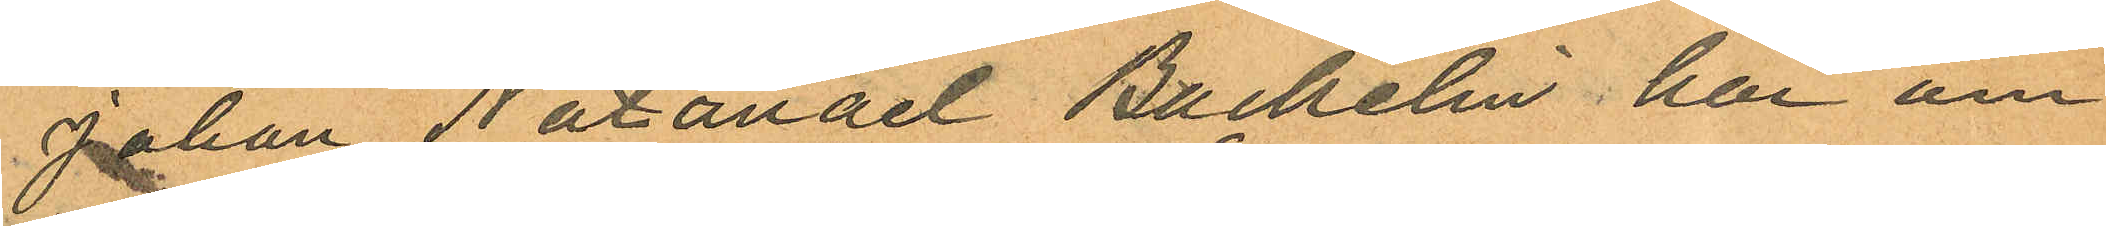Johan Natanael Backelin har om
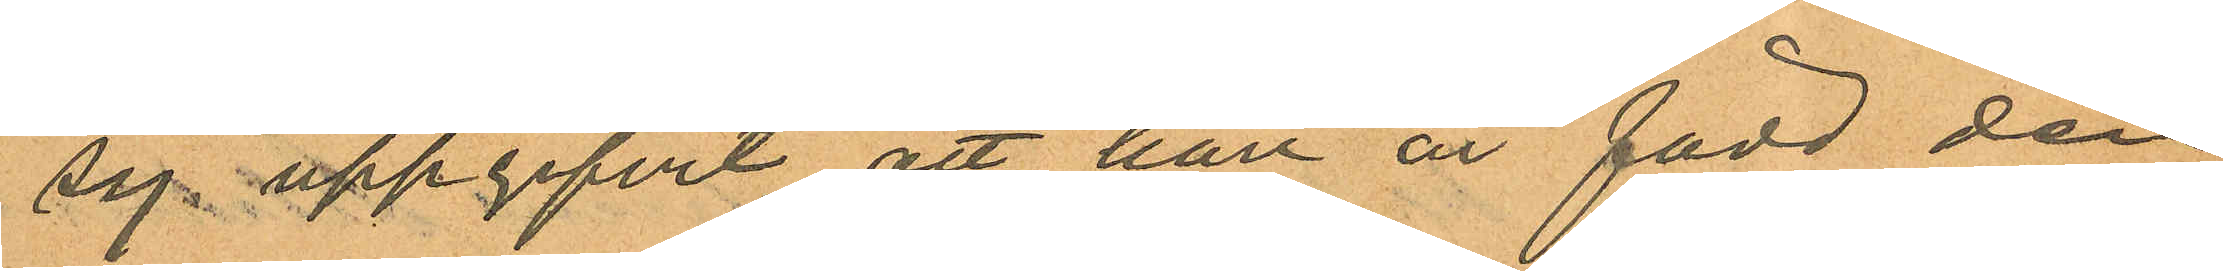sig uppgifvit att han är född den
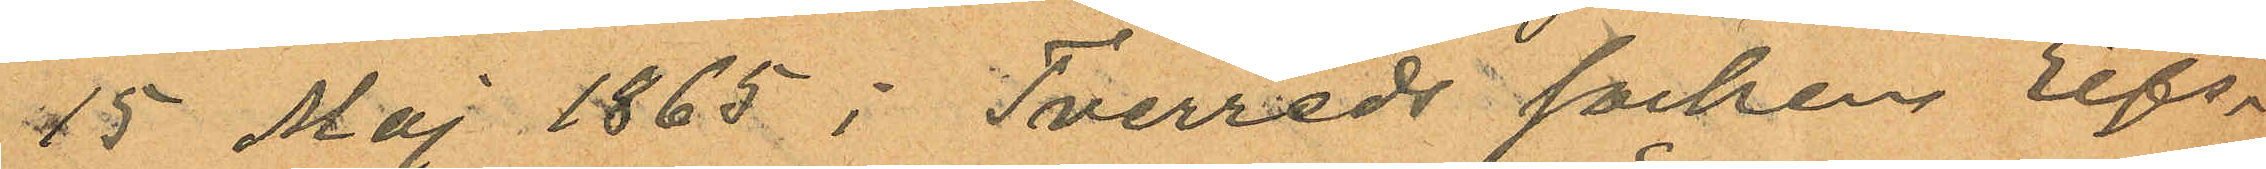15 Maj 1865 i Tverreds socken Elfs¬
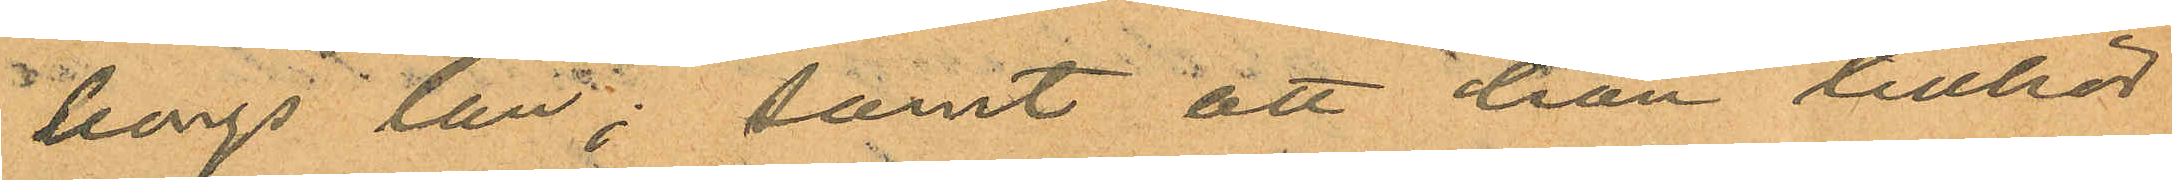borgs län; samt att han tillhör
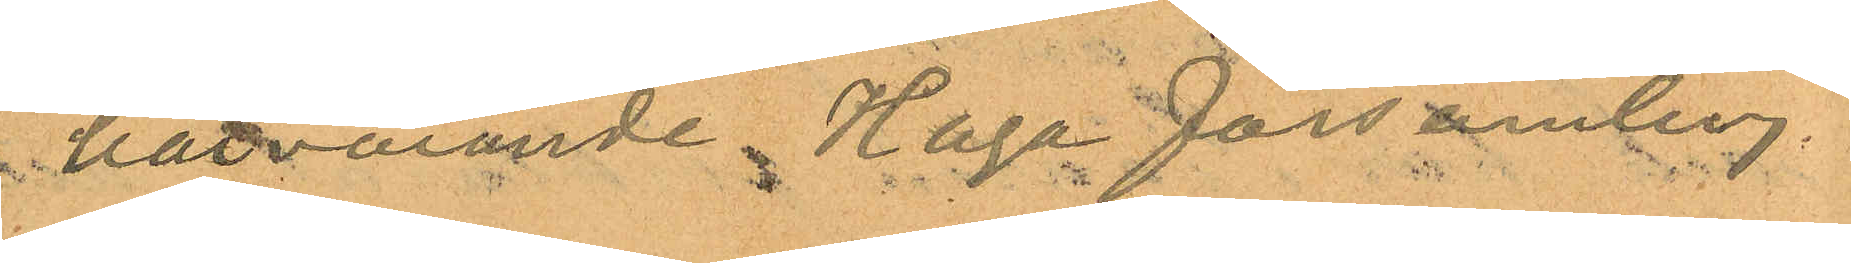härvarande Haga församling
